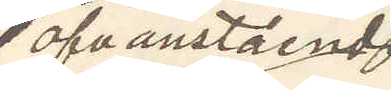ofvanstående
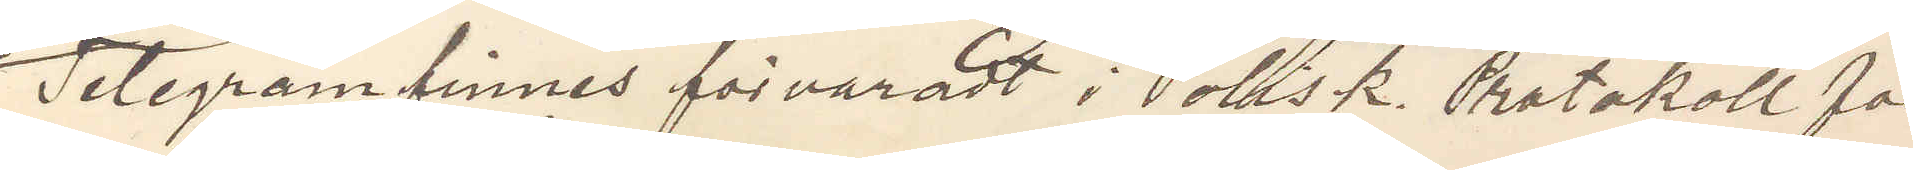Telegram finnes förvaradt i Polisk Protokoll för
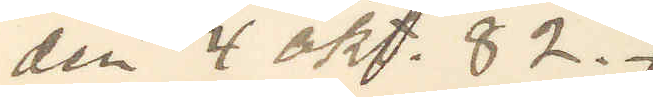den 4 okt. 82.
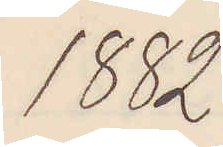1882
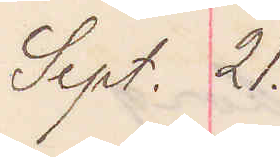Sept. 21.
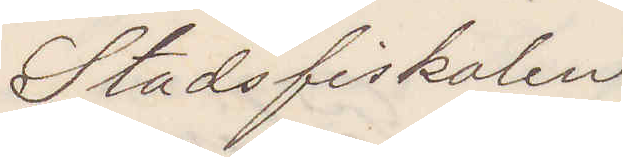Stadsfiskalen 
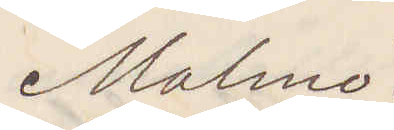Malmö.
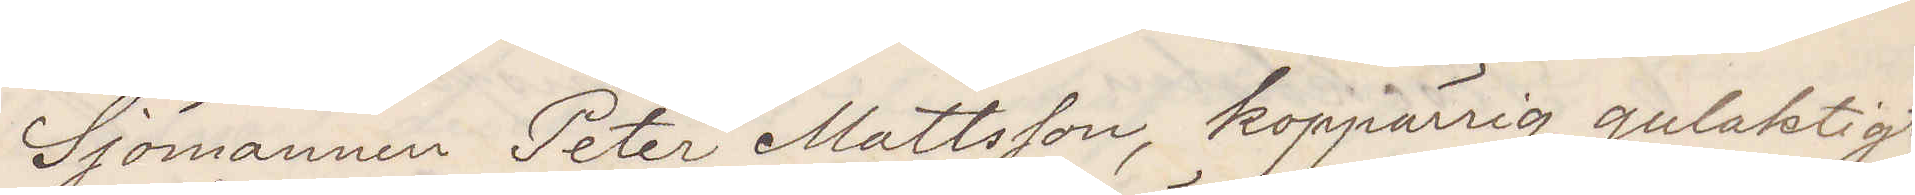Sjömannen Peter Mattsson, koppärrig gulaktigt
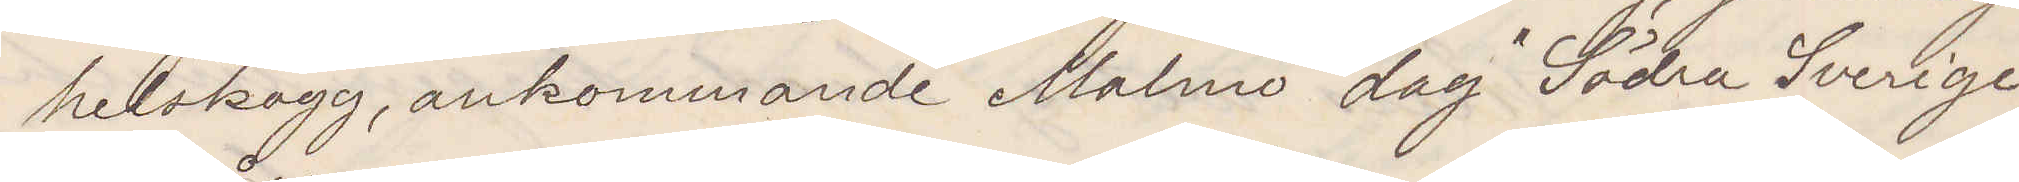helskägg, ankommande Malmö dag "Södra Sverige",
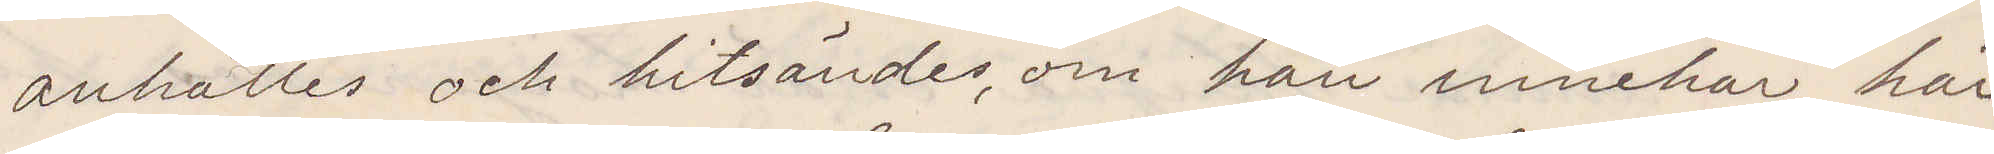anhålles och hitsändes, om han innehar här
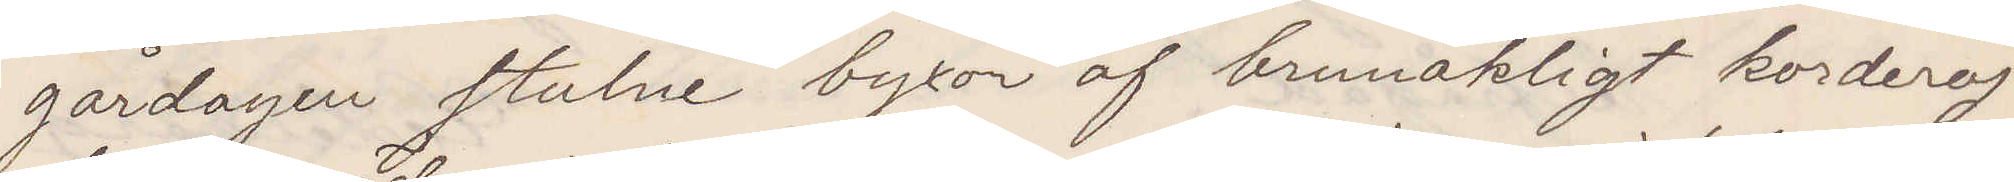gårdagen stulne byxor af brunaktigt korderoj
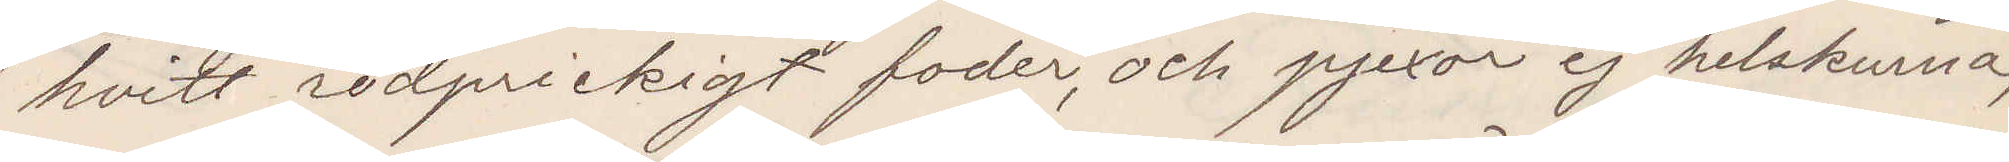hvitt rödprickigt foder, och pjexor ej helskurna,
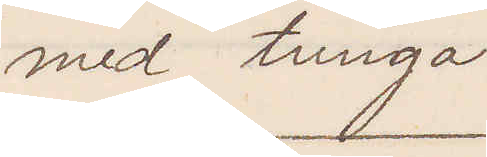med tunga
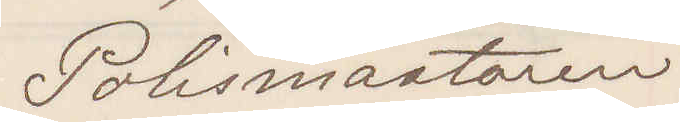Polismästaren
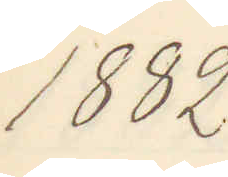1882
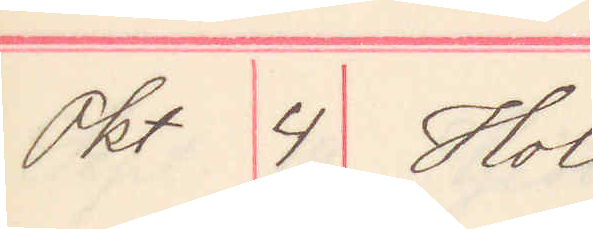Okt 4 Hol
